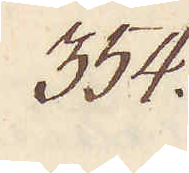354.
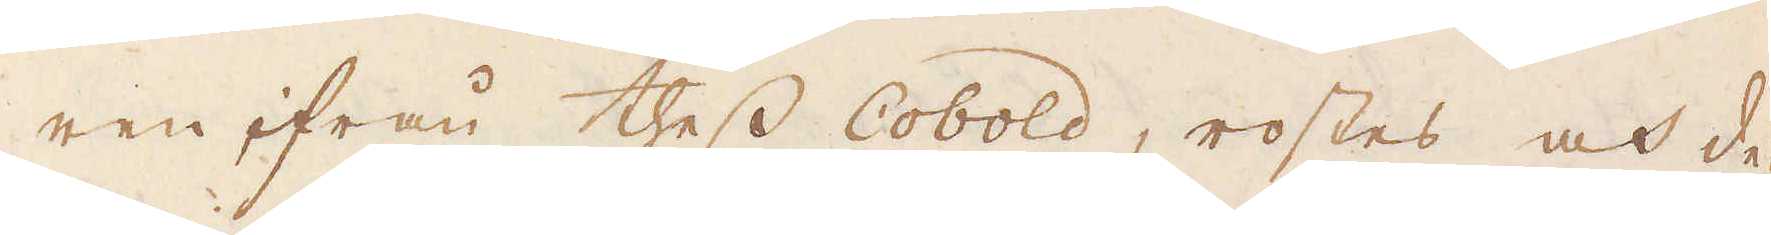ren ifrån thess Cobold, rostes och de-
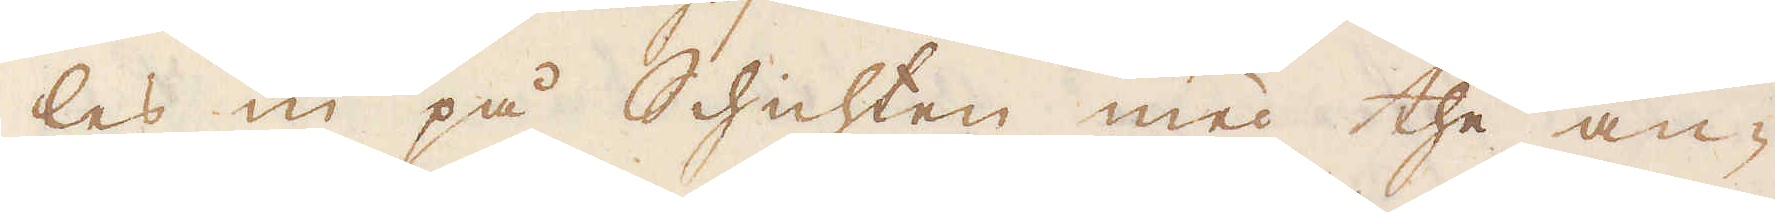les in på Schichten med the an-
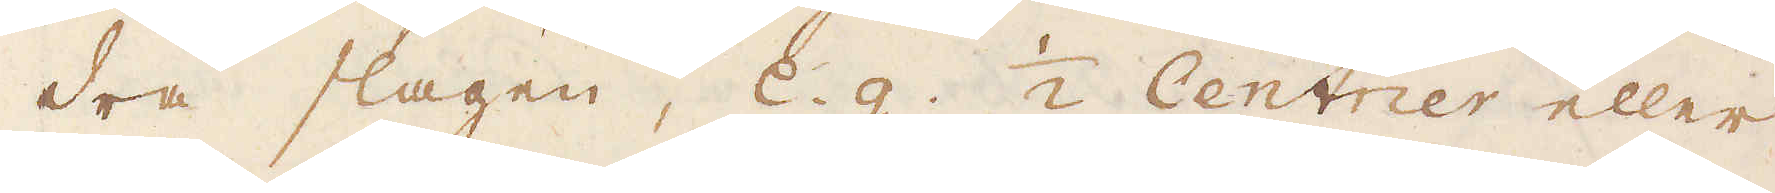dra slagen, e.g. 1/2 Centner eller
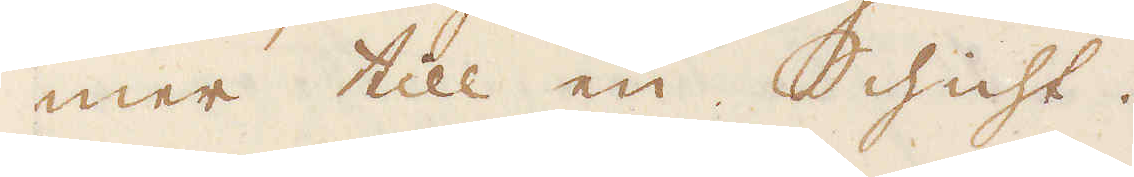mer till en Schicht.
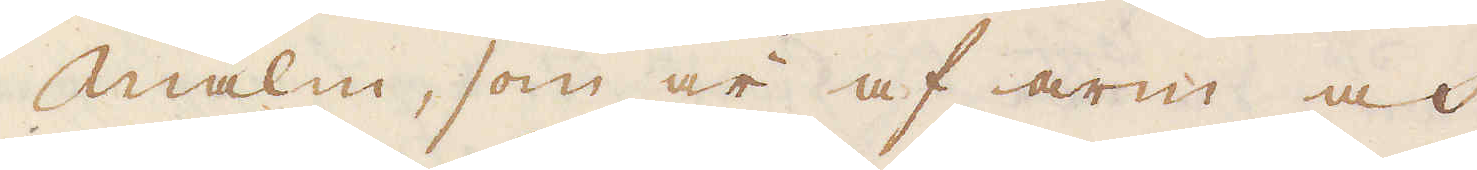Malm, som är af arm och
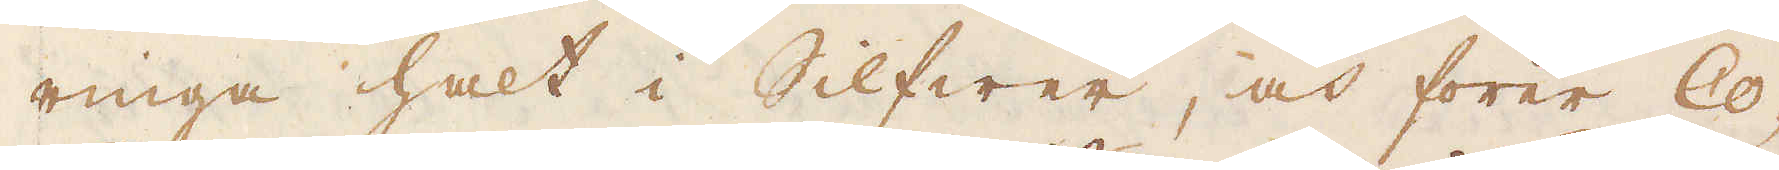ringa halt i Silfwer, och förer Co-
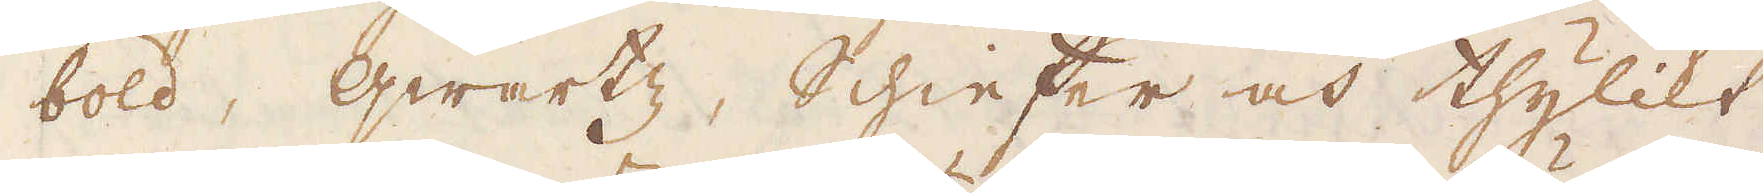bold, Qwartz, Schiefer och thylikt
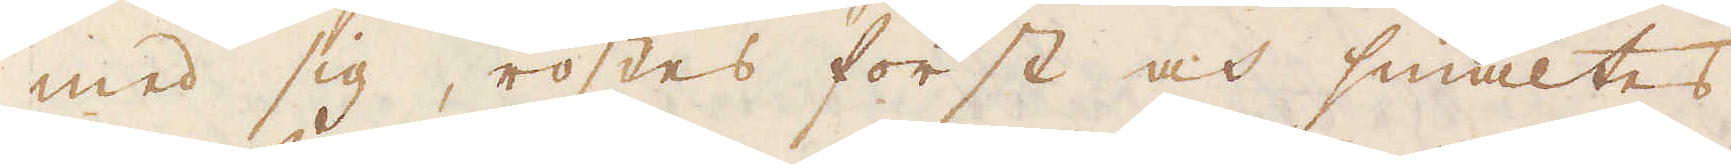med sig, rostes först och smältes
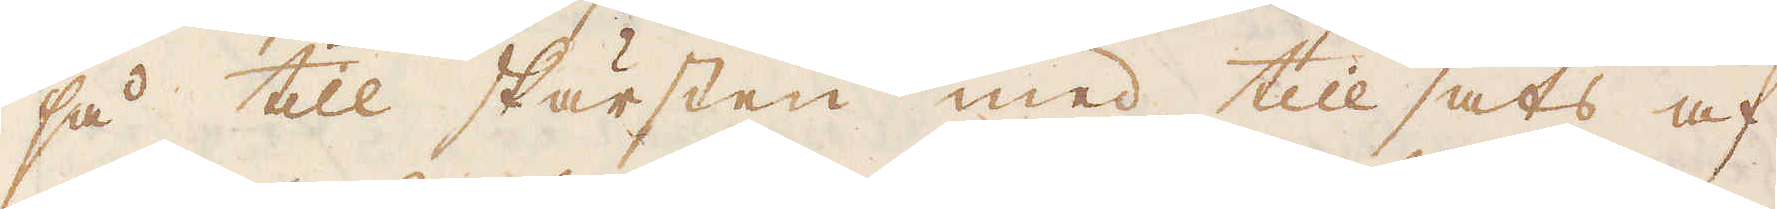så till skärsten med till sats af
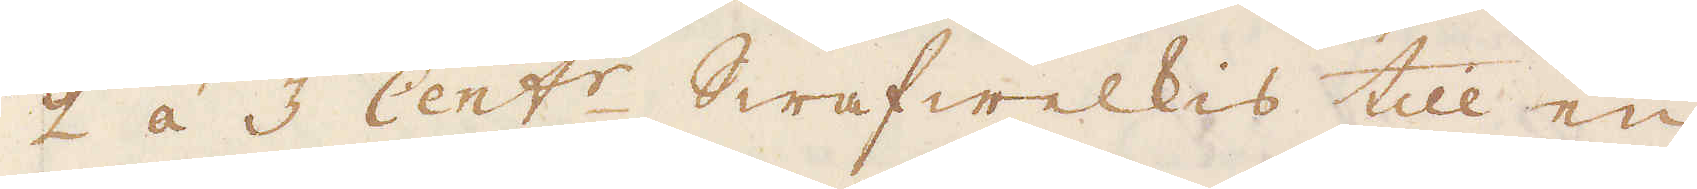2 á 3 Cent:r Swafwelkis till en
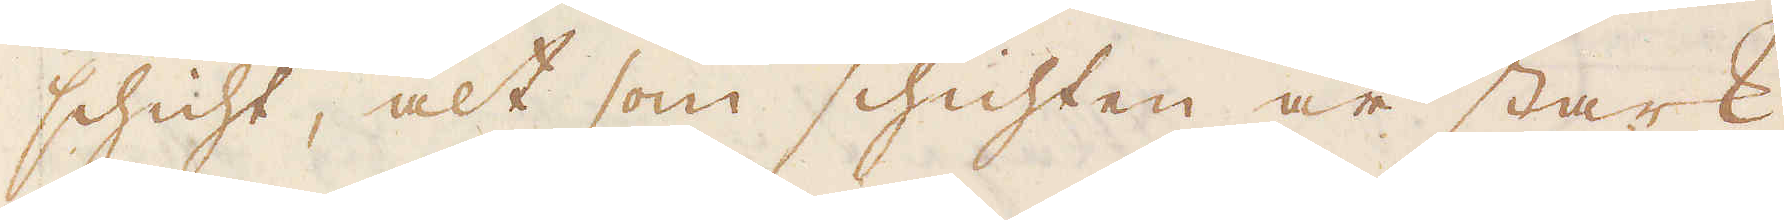schicht, alt som schichten är stark
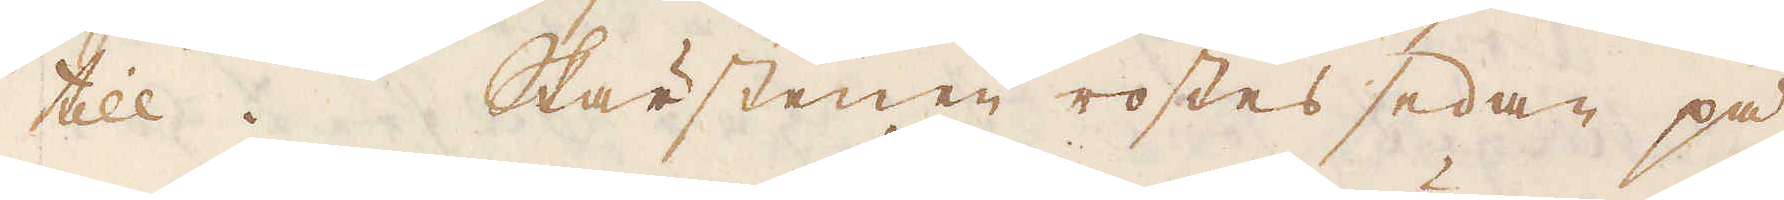till. Skärstenen rostes sedan på
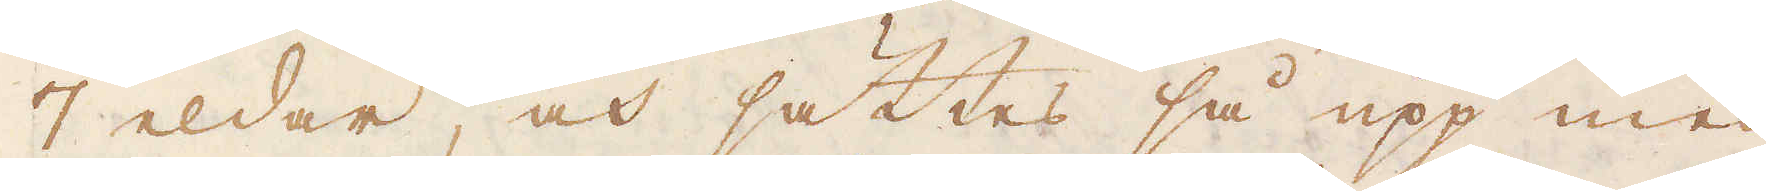7 eldar, och sättes så upp med
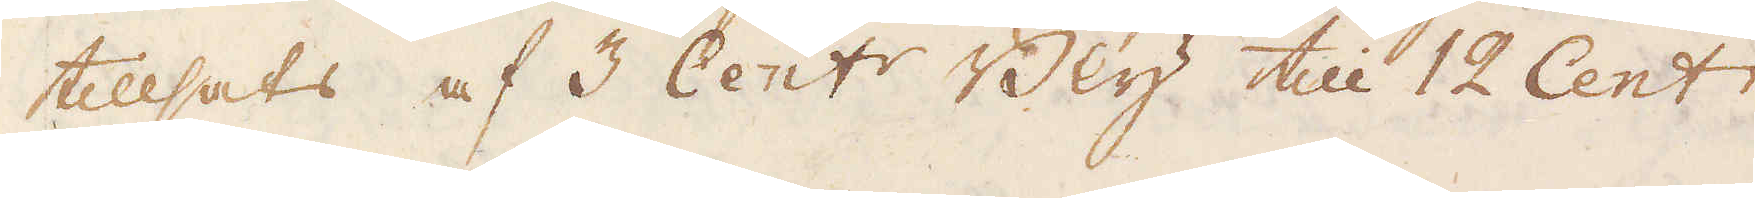tillsats af 3 Cent:r Bly till 12 Cent:r.
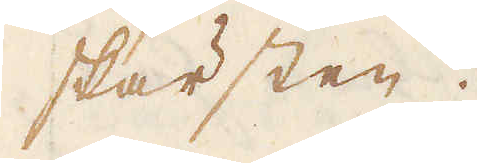skärsten.
